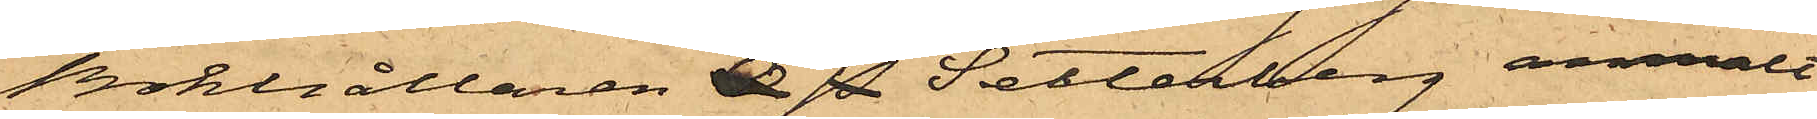Bokhållaren T. W. Setterberg anmält
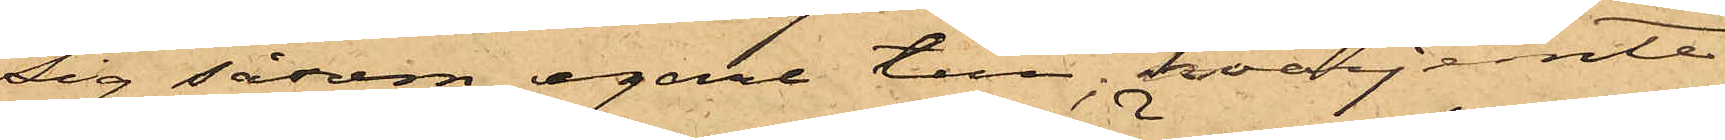sig såsom egare till; hvarjemte
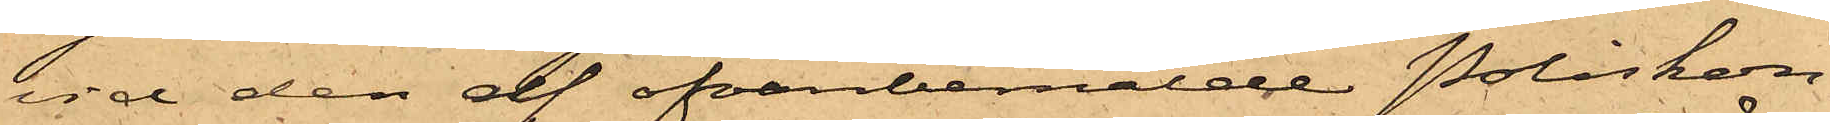vid den af ofvanbemälde Poliskons¬
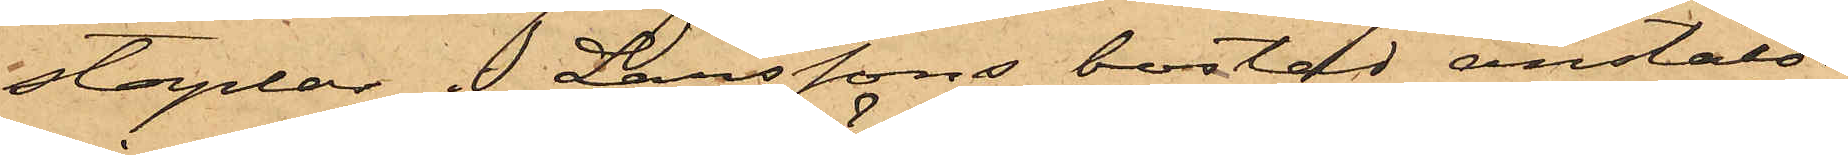staplar i Larssons bostad anstälda
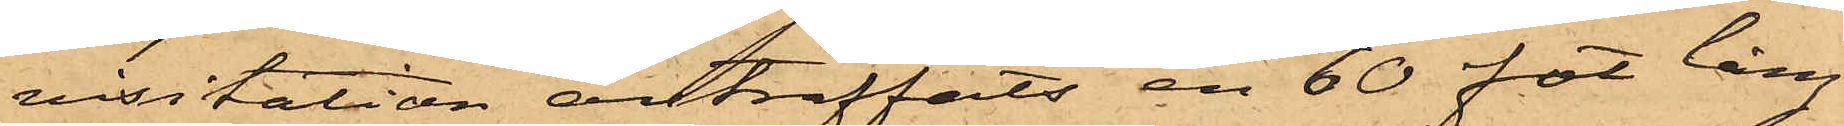visitation anträffats en 60 fot lång
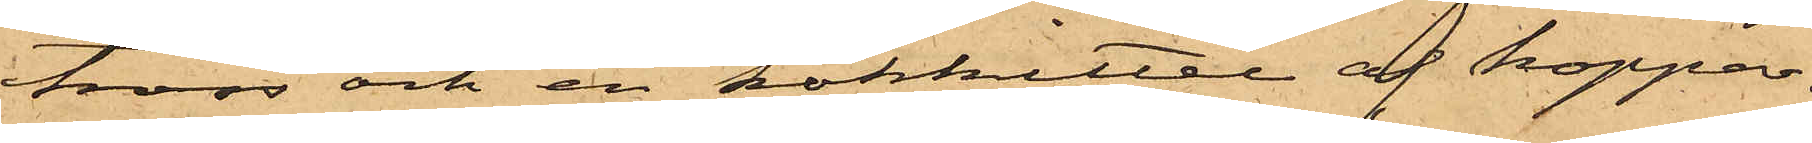tross och en kokkittel af koppar.
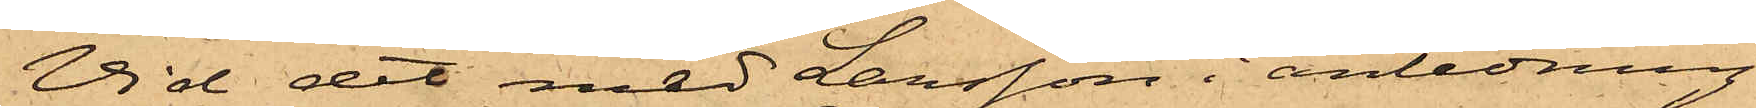Vid det med Larsson i anledning
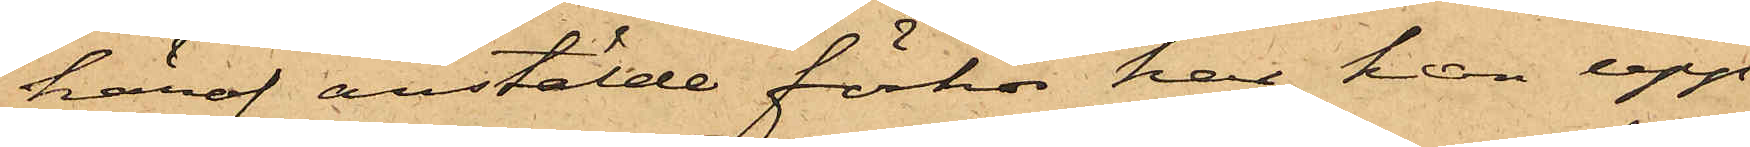häraf anstälde förhör har han upp¬
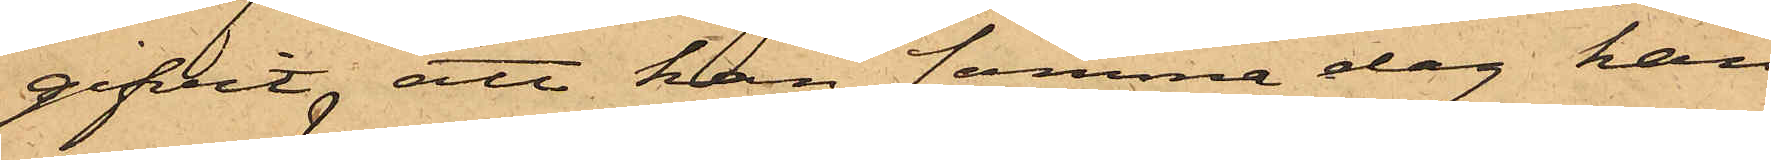gifvit, att han samma dag han
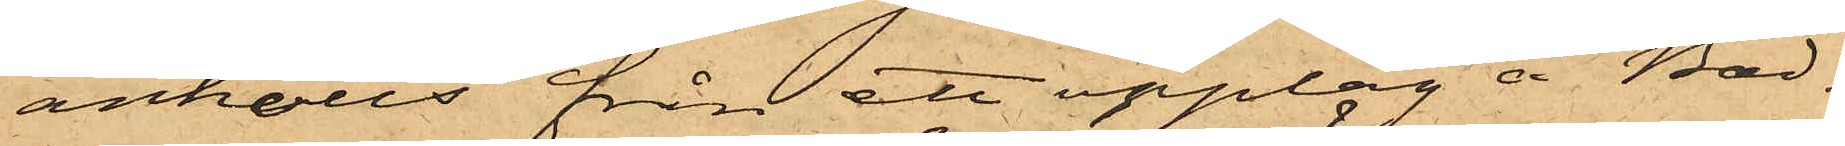anhölls från ett upplag å Bad¬
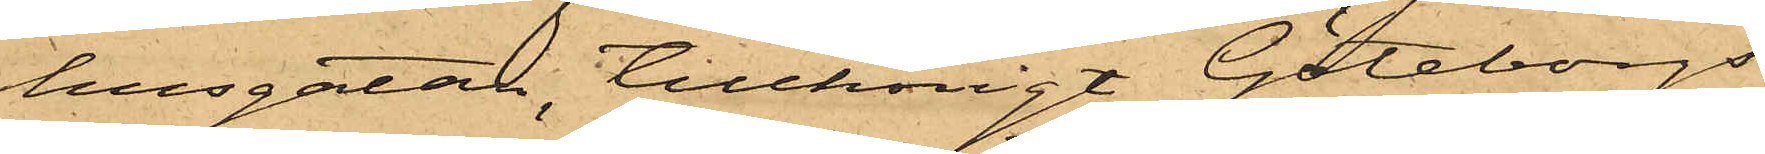husgatan, tillhörigt Göteborgs
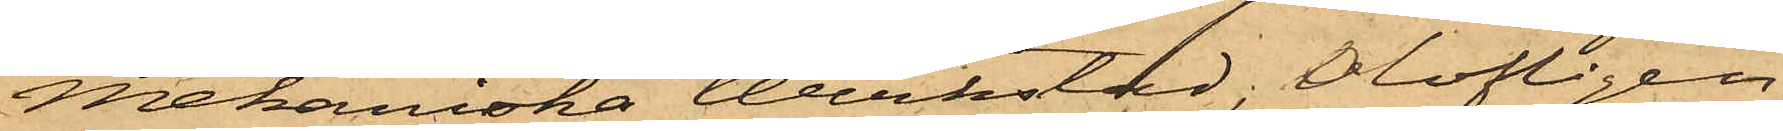Mekaniska Werkstad, olofligen
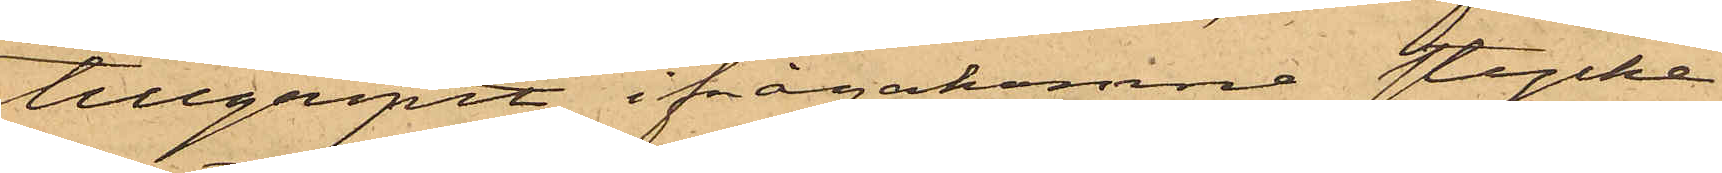tillgripit ifrågakomne stycke
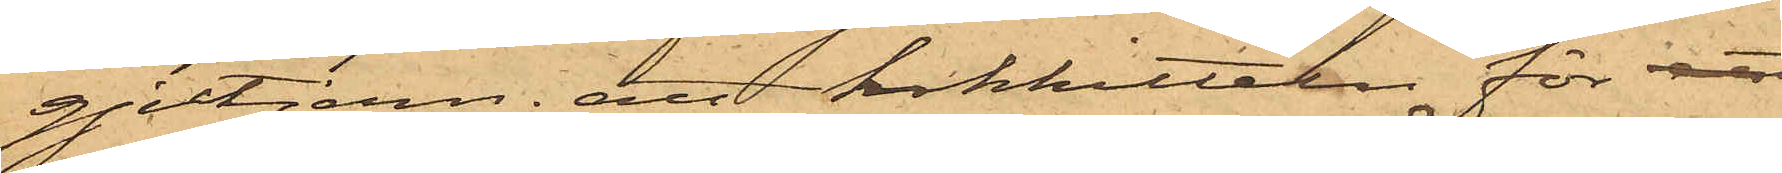gjutjern; att kokkitteln för att
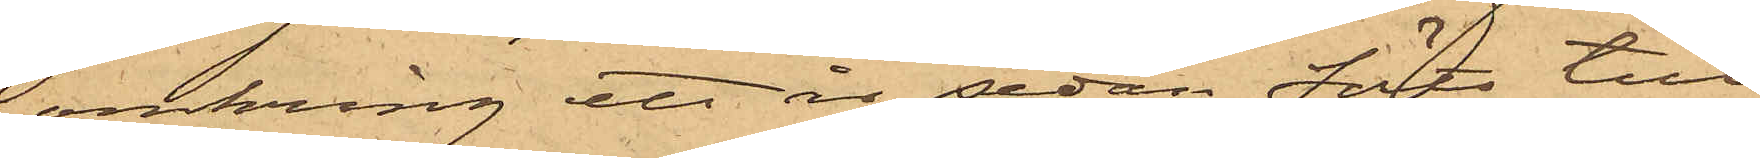omkring ett år sedan förts till
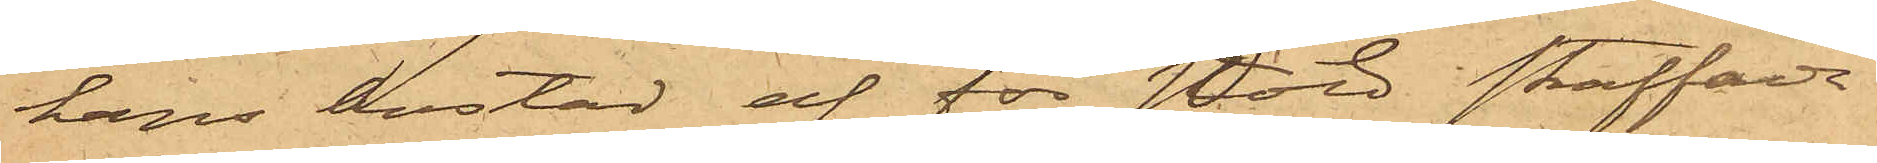hans bostad af för stöld straffade
